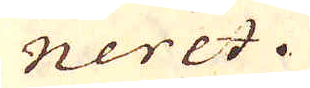néertd.
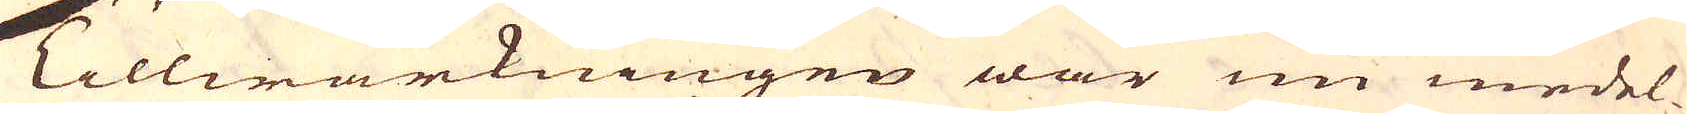Tillwärkningen war nu medel-
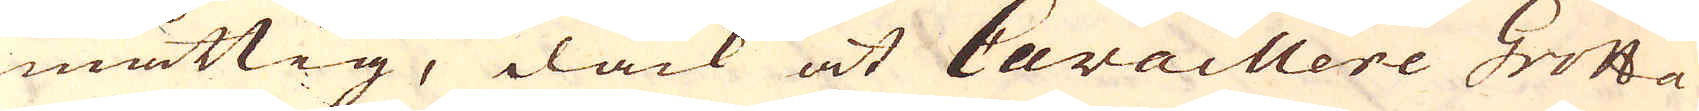måttig, dåck at Cavaillere Grotta
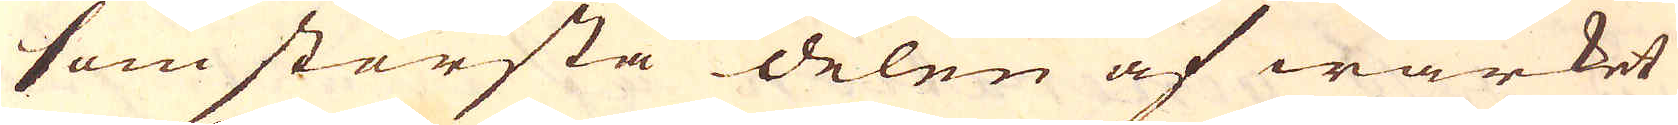som största delen af wärket
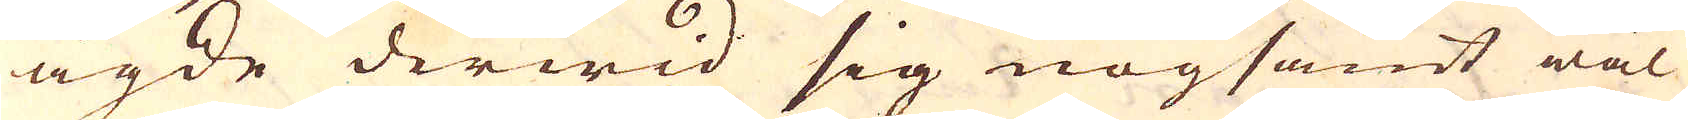ägde derwid sig nogsamt wäl
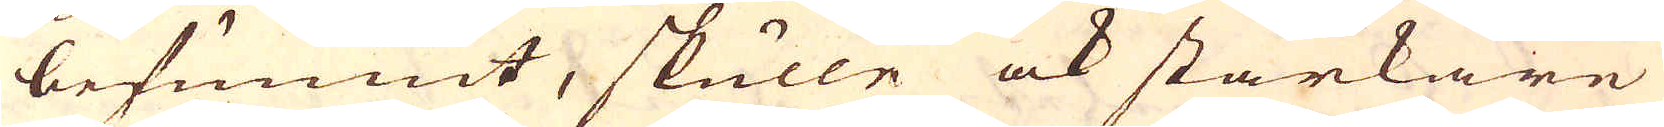befunnit, skulle ock starkare
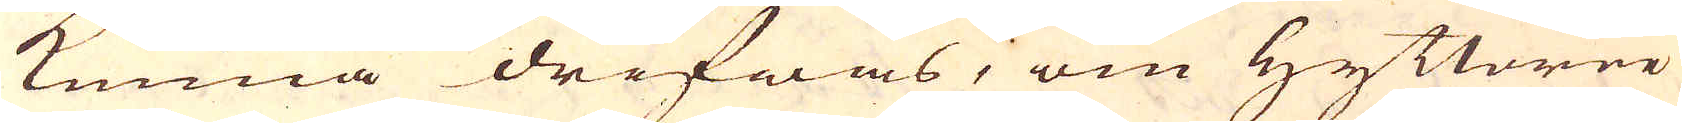kunna drifwas, om Hyttorne
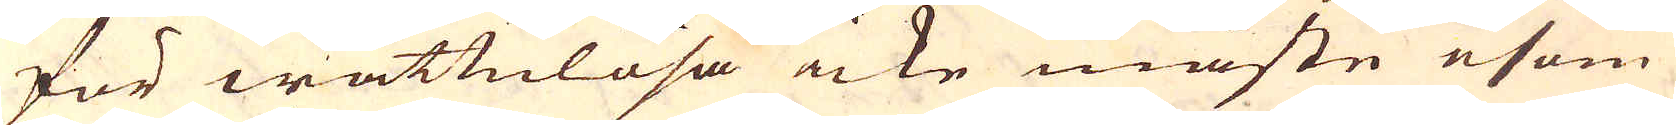för wattulösa icke måste esom
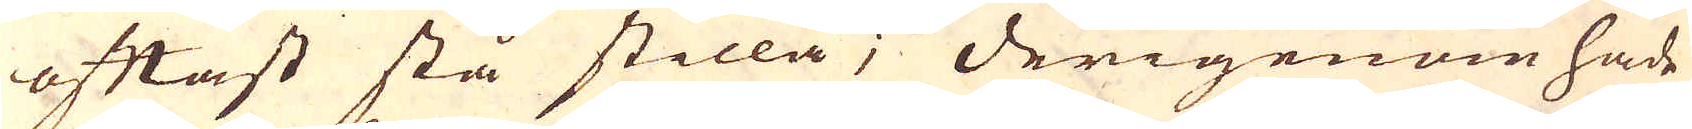oftast stå stilla, derigenom hade
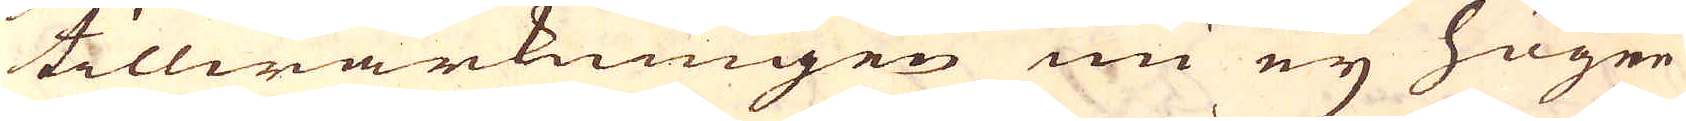tillwärkningen nu eij högre
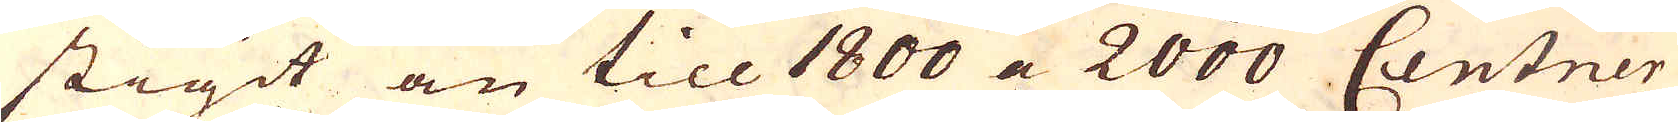stigit än till 1800 a 2000 Centner
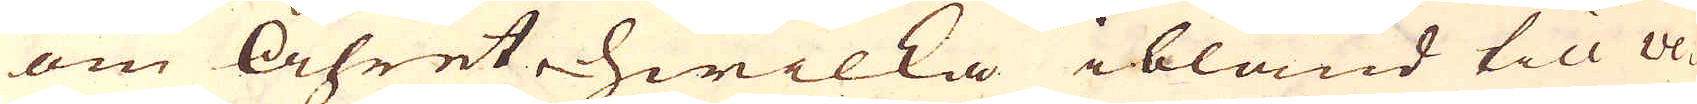om åhret ehwilka ibland till Ve-
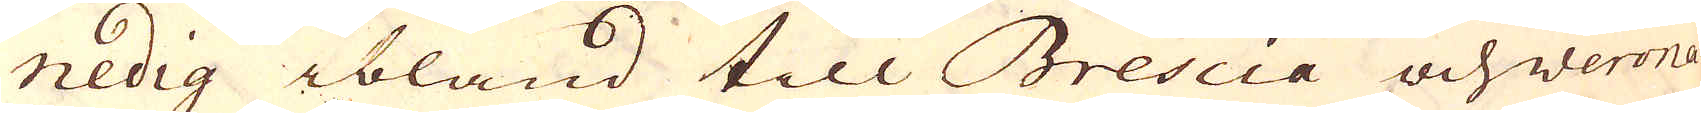nedig ibland till Brescia och verona
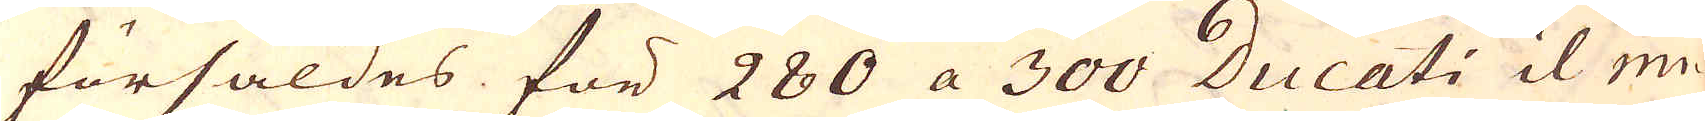försåldes för 280 a 300 Ducati il mi-
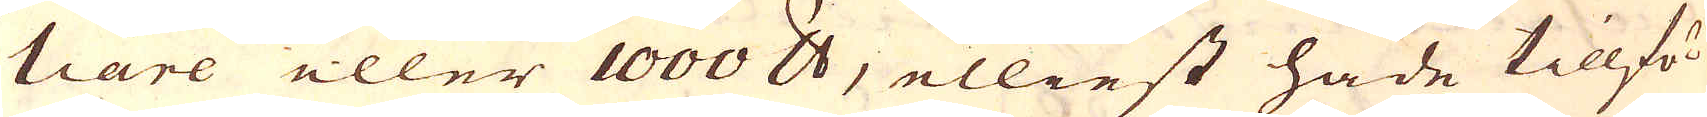tiare eller 1000 skålpund, elliest hade tillfö-
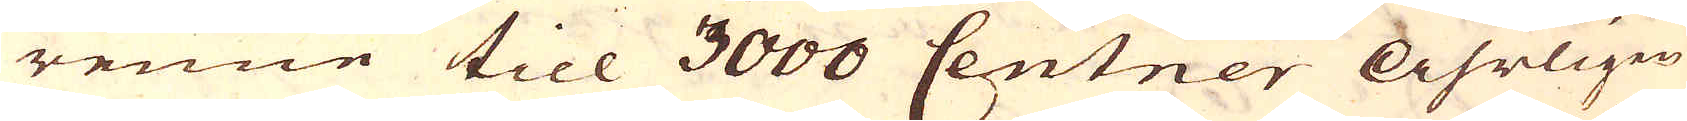renne till 3000 Centner Åhrligen
